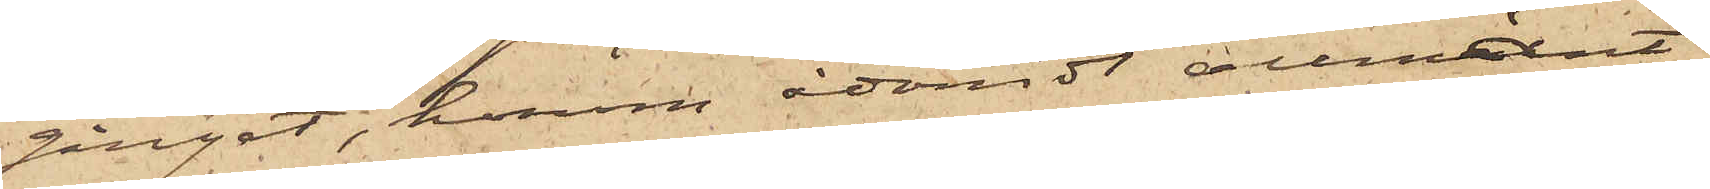gånget, honom ådömdt allmänt
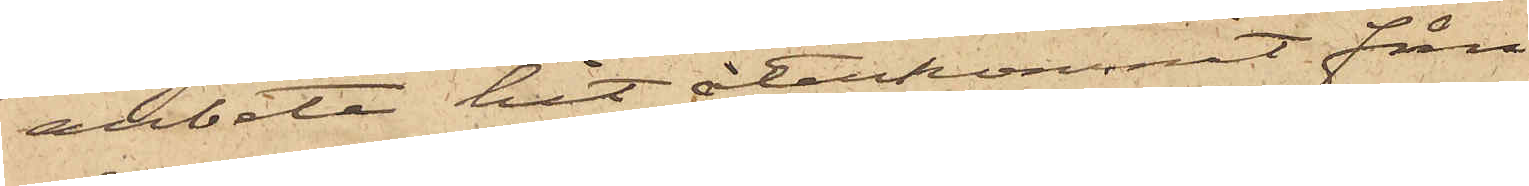arbete hit återkommit från
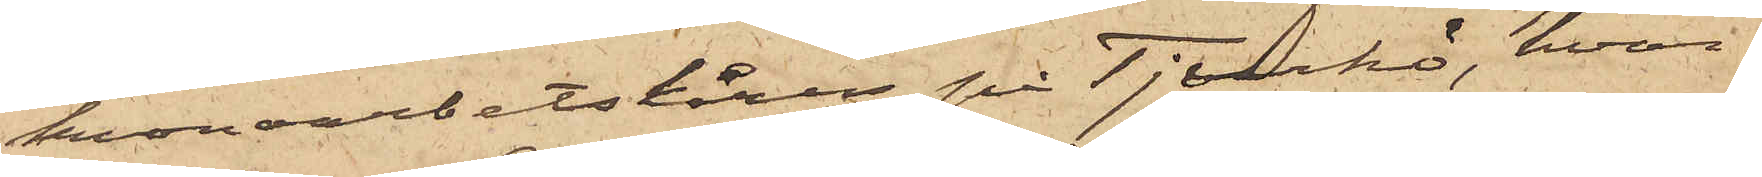kronoarbetskåren på Tjurkö, hvar¬
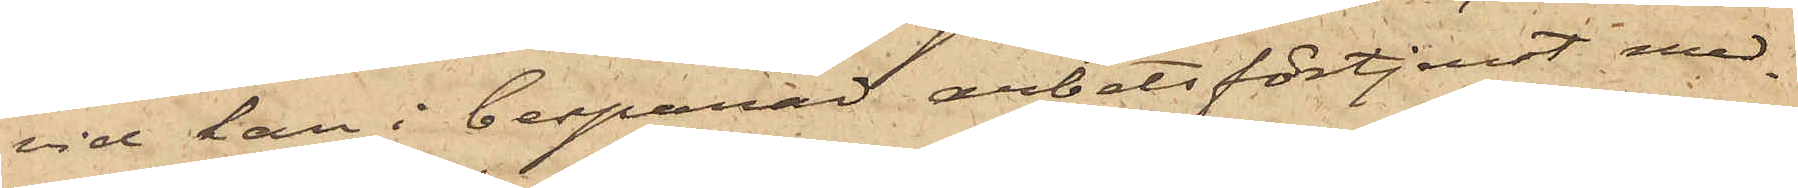vid han i besparad arbetsförtjenst med¬
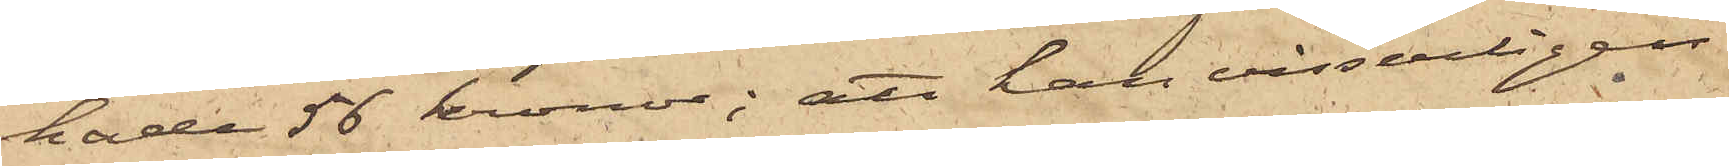hade 56 kronor; att han visserligen
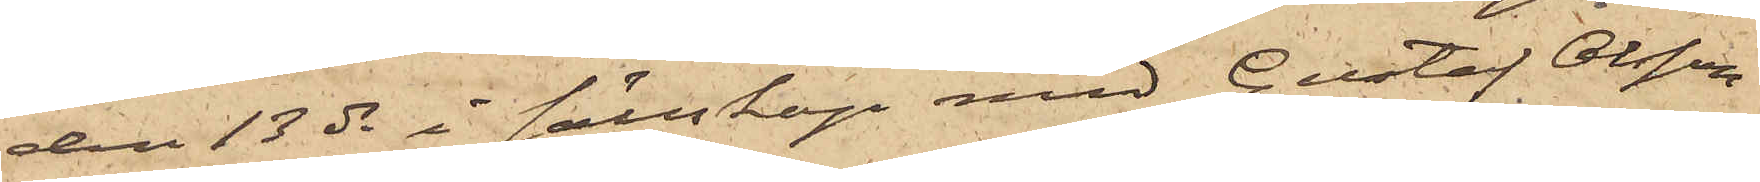den 13 ds i sällskap med Gustaf Olsson
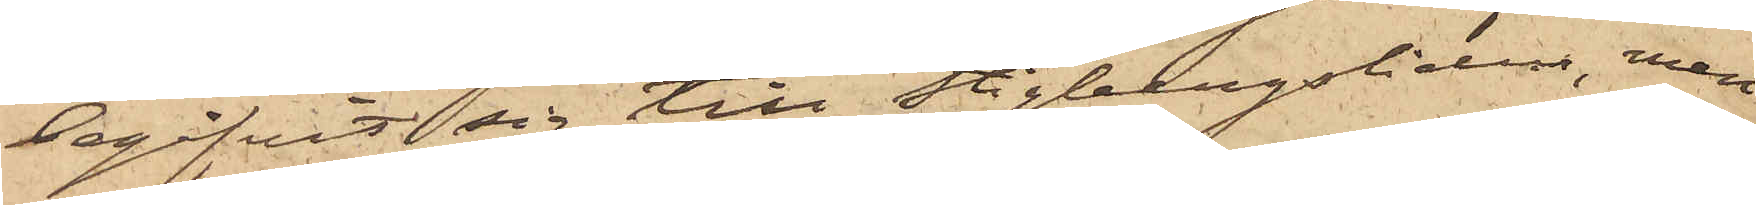begifvit sig till Stigbergsliden, men
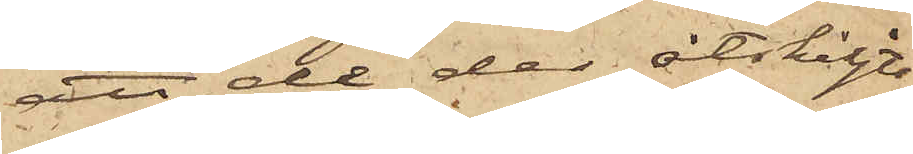att de der åtskiljts
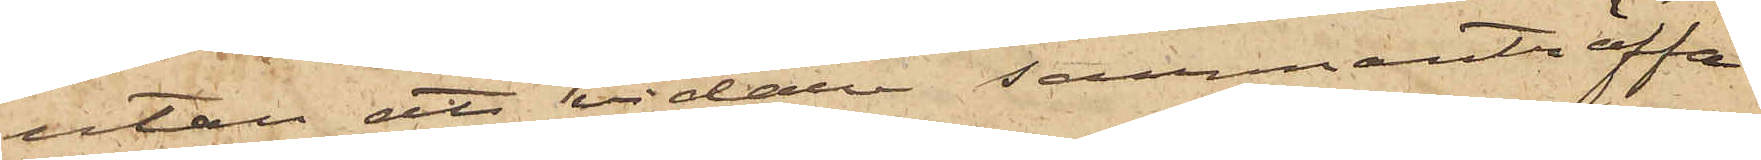utan att vidare sammanträffa
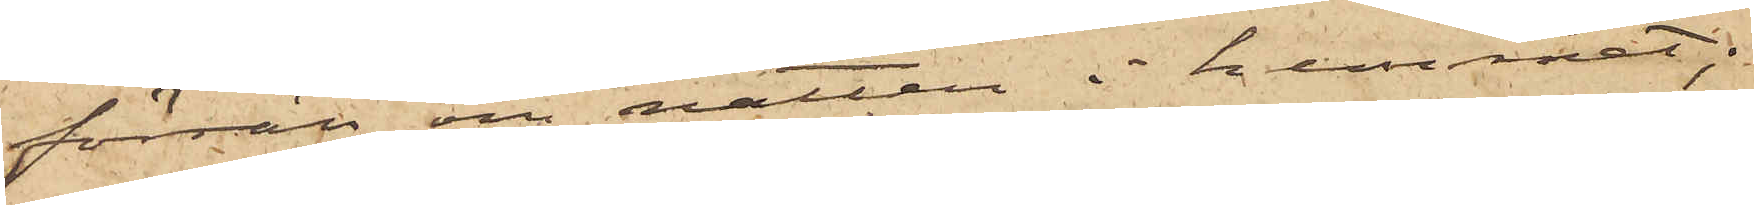förrän om natten i hemmet;
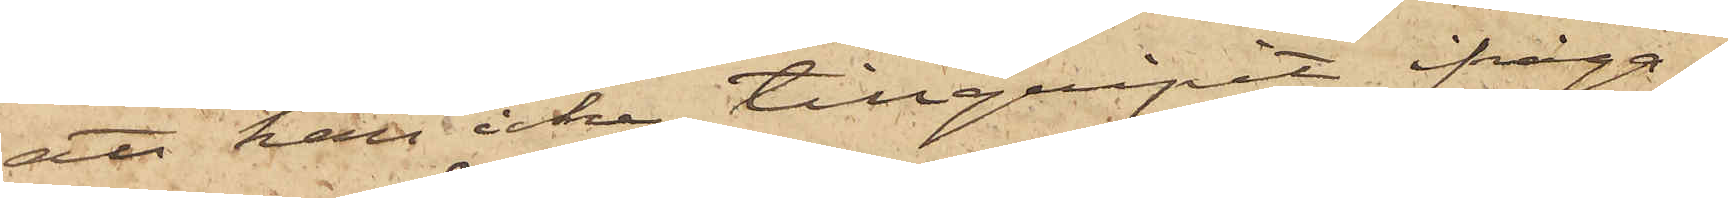att han icke tillgripit ifråga¬
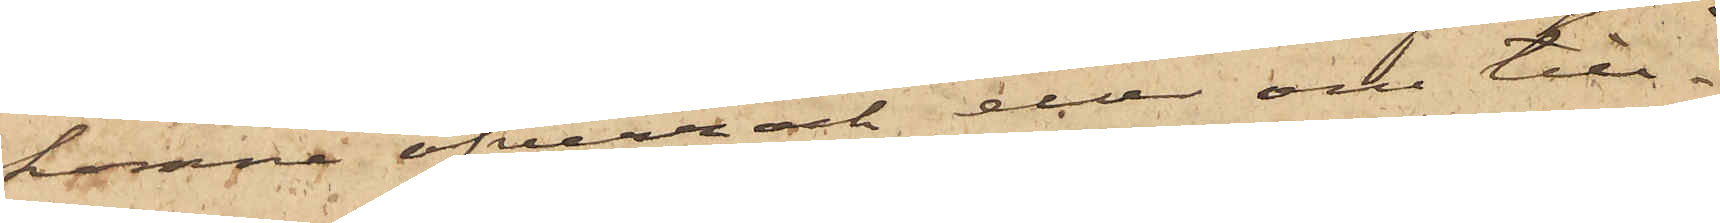komne öfverrock och eller om till¬
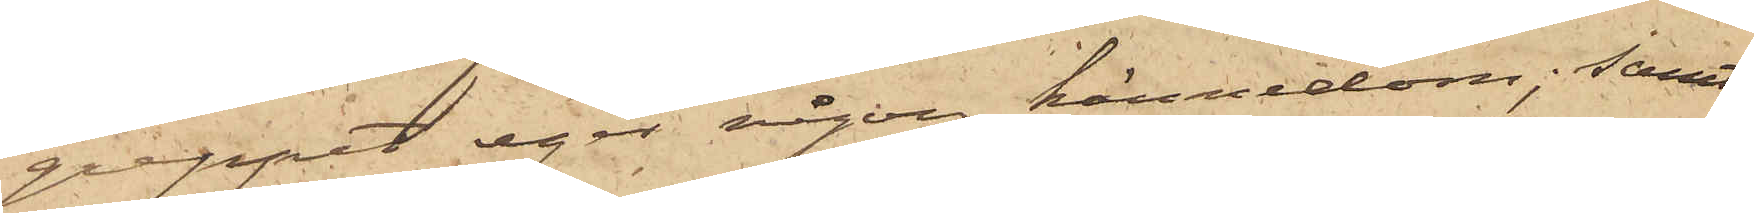greppet eger någon kännedom; samt
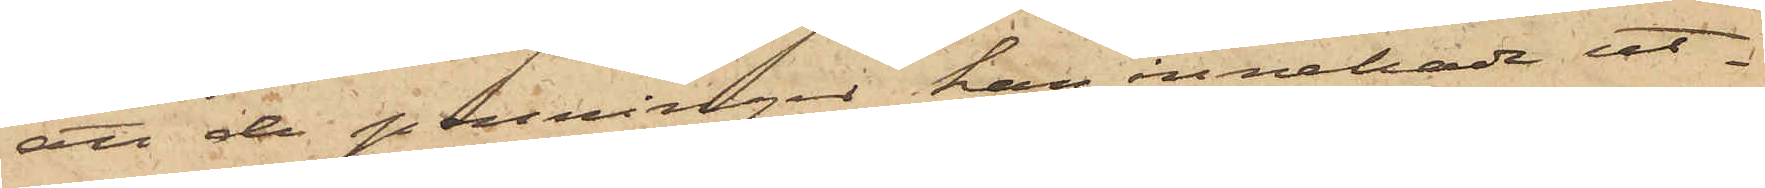att de penningar han innehade ut¬
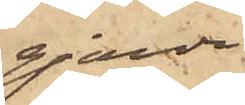gjorde
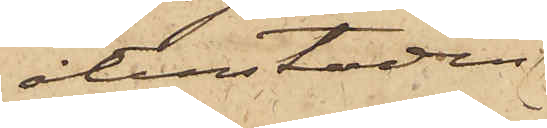återstoden
